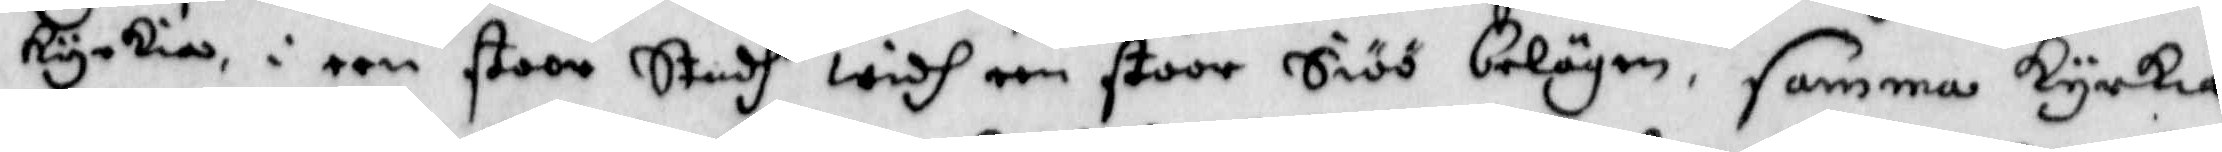kyrkia, i een stoor Stadh widh een stoor Siöö belägen, samma kyrkia
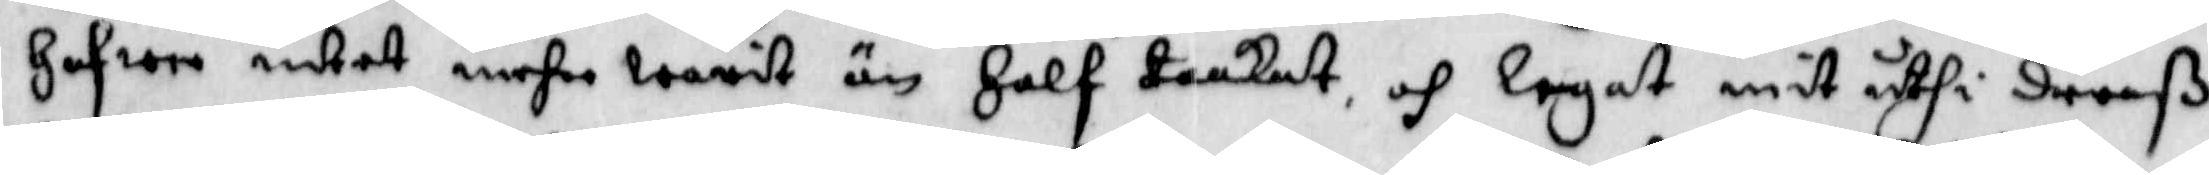Hafwer intet mehr warit än Half tankat och legat mit uthi deraß
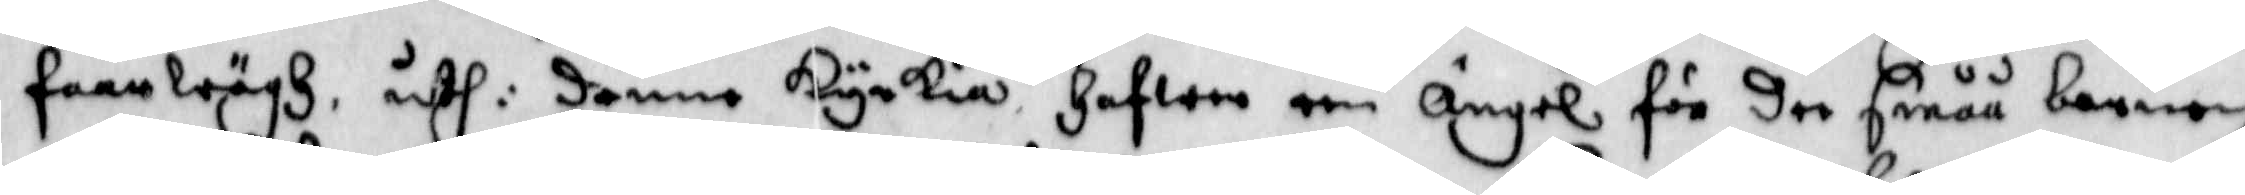farewägh, uthi denne kyrkia Hafwer een Ängel för dee Småå barnen
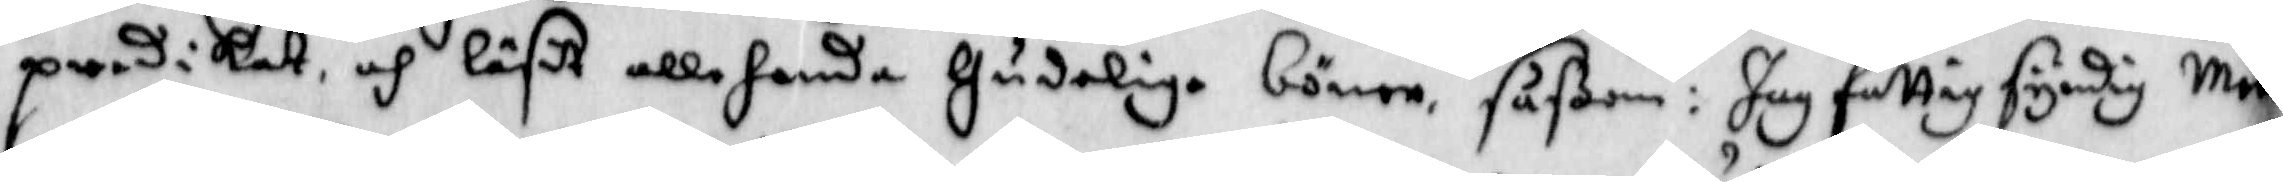predikat och läsit allehanda Gudeliga böner, Såßom: Jag fattig syndig Men¬
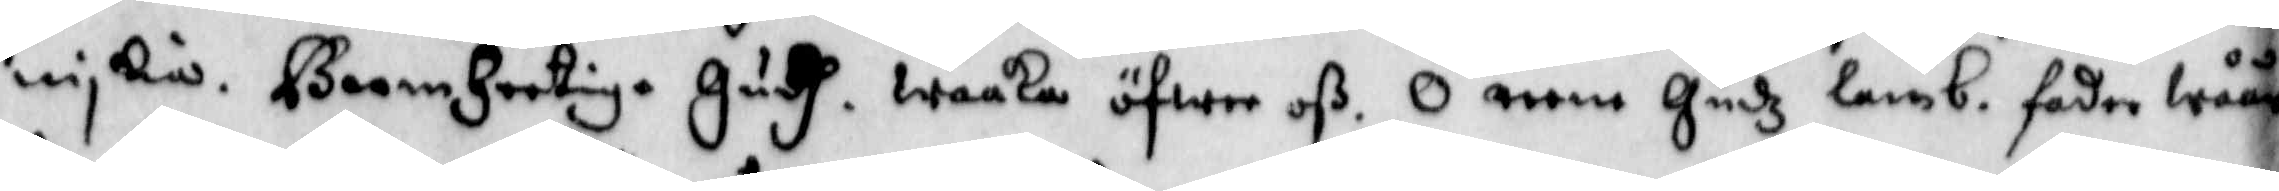niskia. Bermhertig. Gudh. waaka öfwer oß. O reene Gudz lamb fader wåår
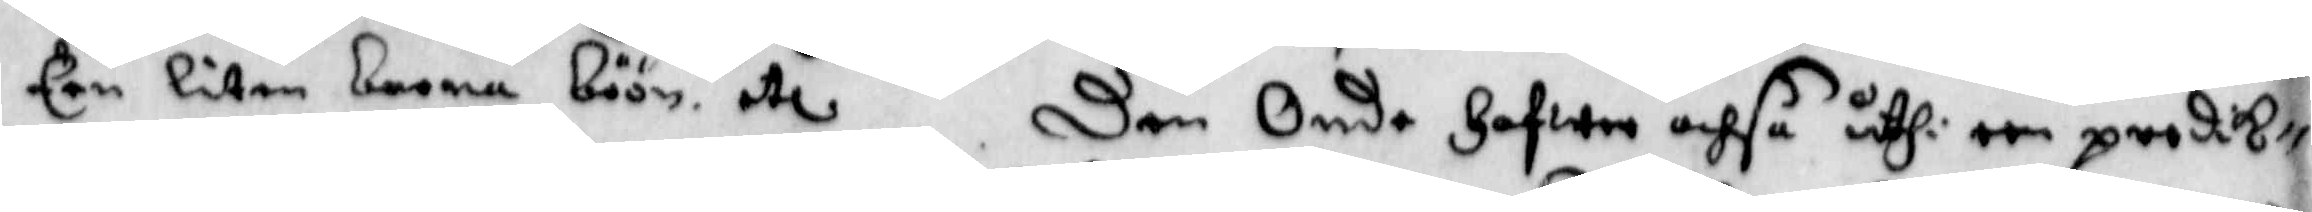Een liten barna böön etc. Den Onde Hafwer ochså uthi een predik¬
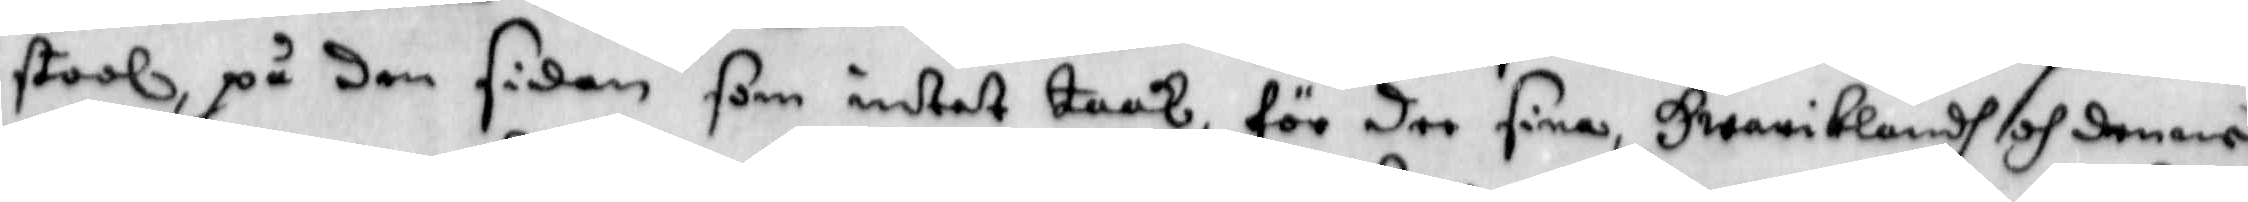stool på den sidan som intet taak, för dee fina Hwaribland och denne
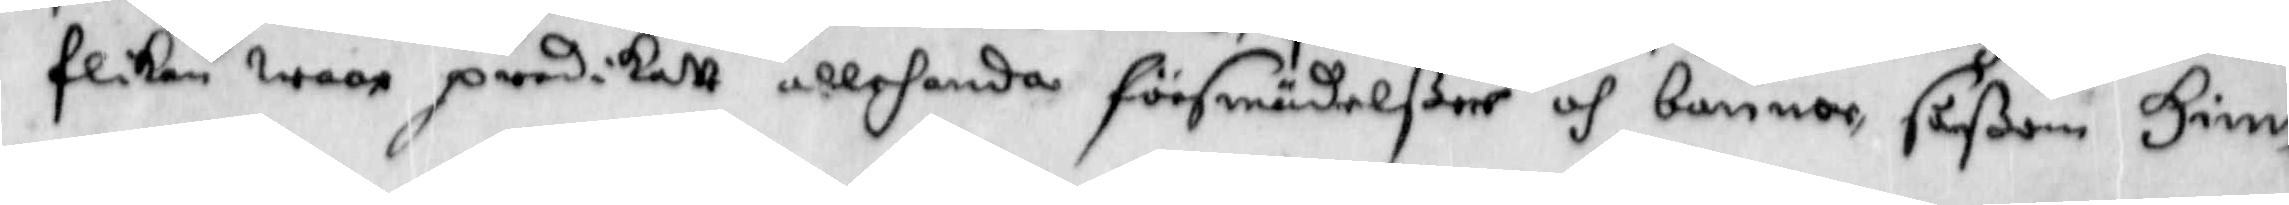flika wore predikatt allehanda försmädelßer och bannor såßom Himm
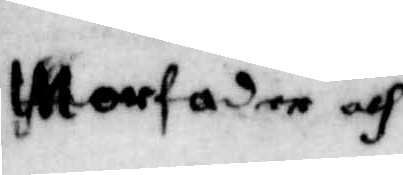Morfader och Modermoder till föräldrarna skrifwit att dee andre narnen uthi Dilßboo
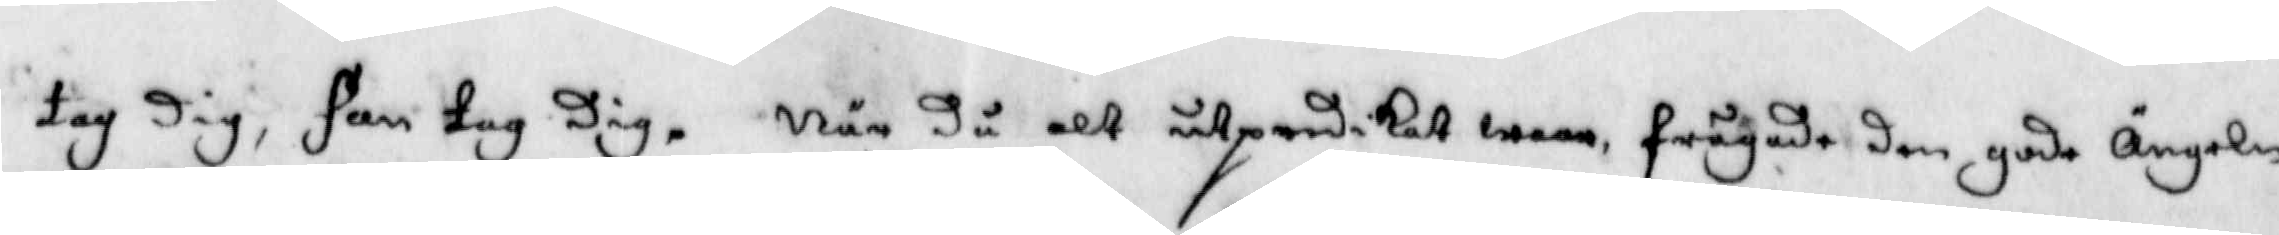tag Dig, Fan tag Dig. När då alt utpredikat wore frågade den gode ängeln
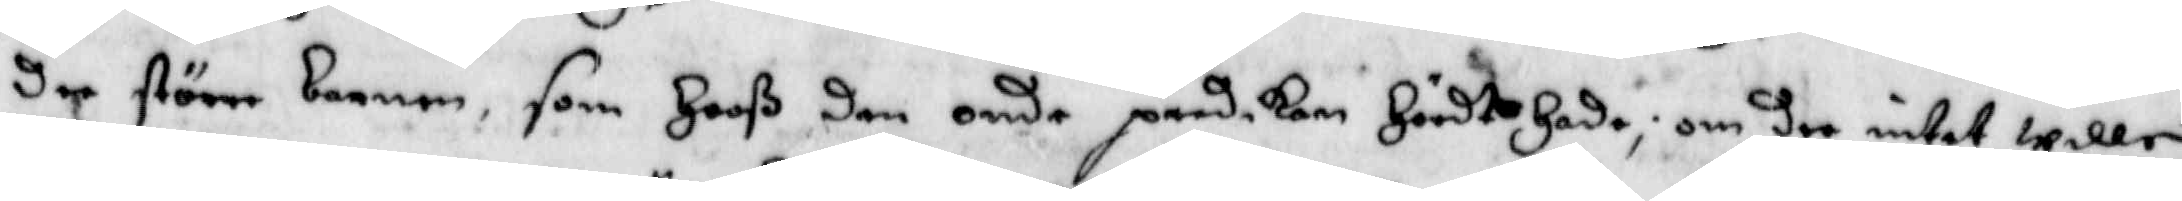dee större barnen som hooß den onde predikan hördt hade, om dee intet wille
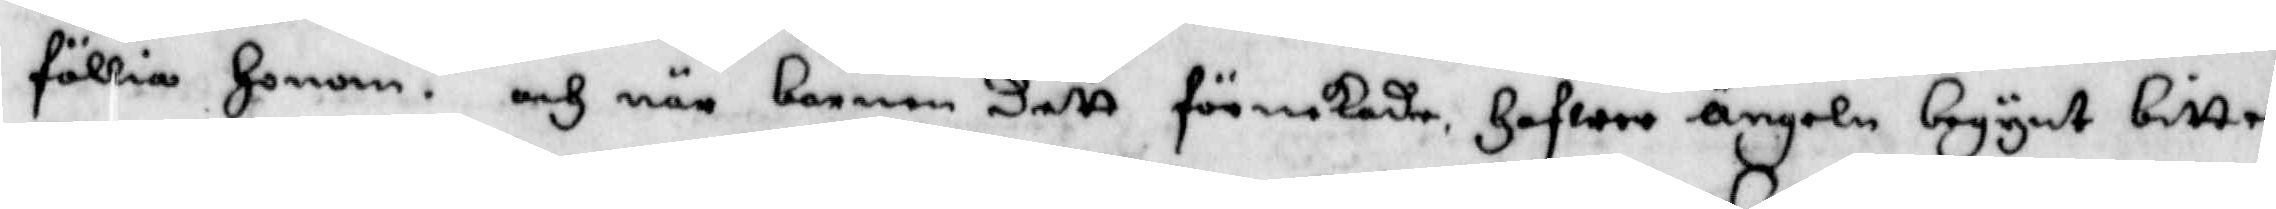föllia honom. och när barnen dett förnekade hafwer ängeln begynt bitter¬
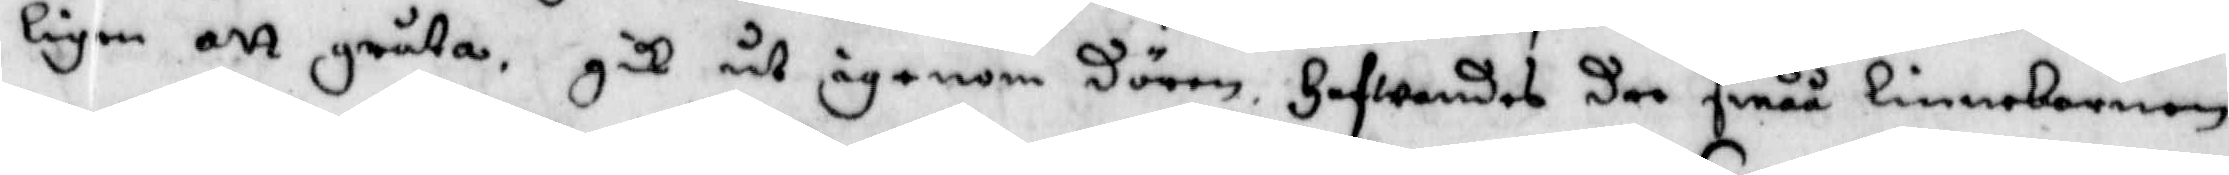ligen att gråta, gick ut ägenom dörren hafwandes dee småå linnebarnen
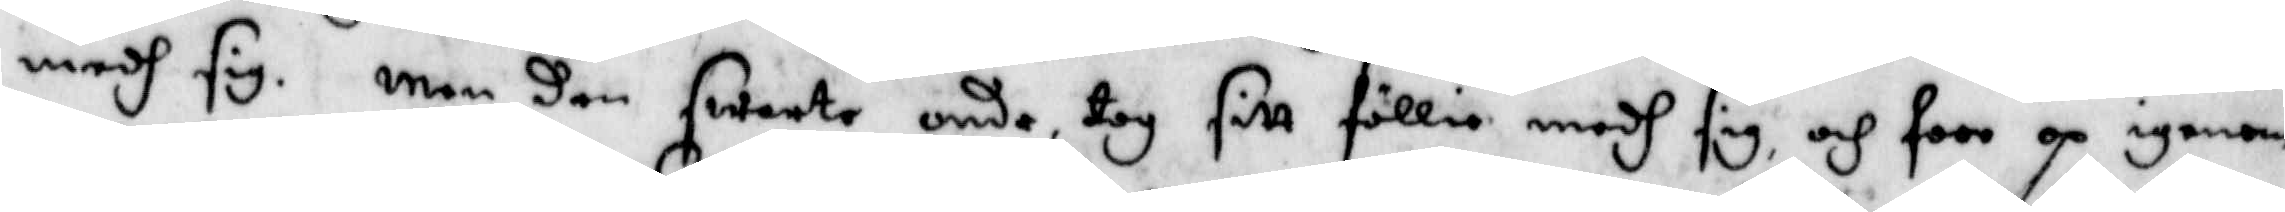medh sig. men den swarte onde tog sitt föllie medh sig, och foro op igenom
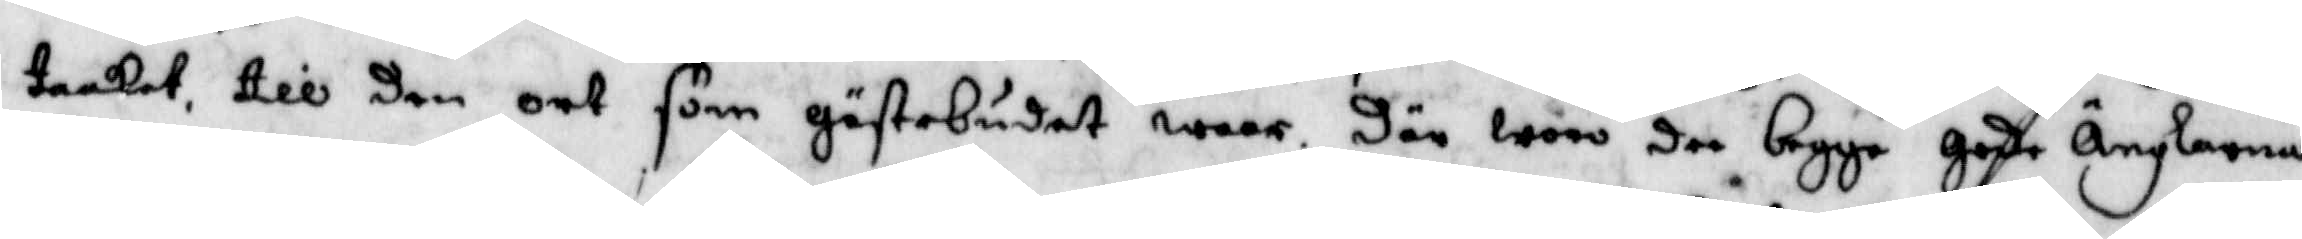taaket till den ort som Gästebudet waar. Där woro dee begge gode Änglarna
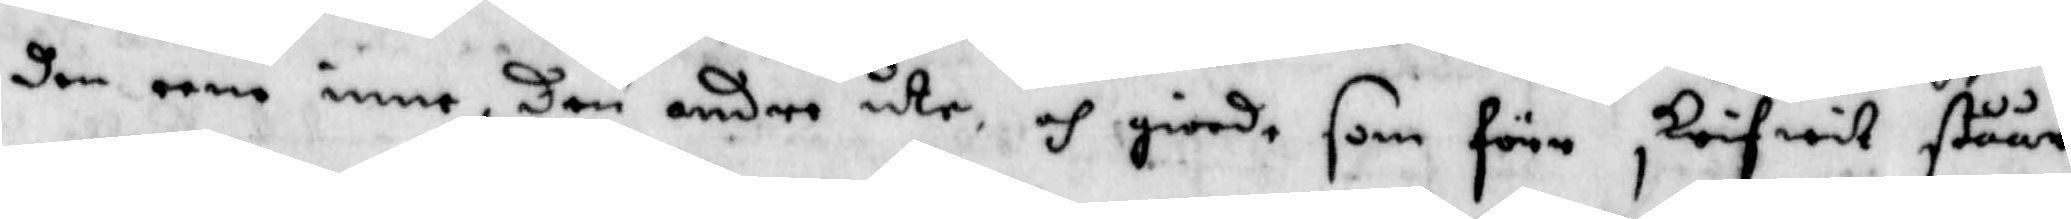den eene inne, Den andre ute, och giorde som dörr skrifwit ståår.
